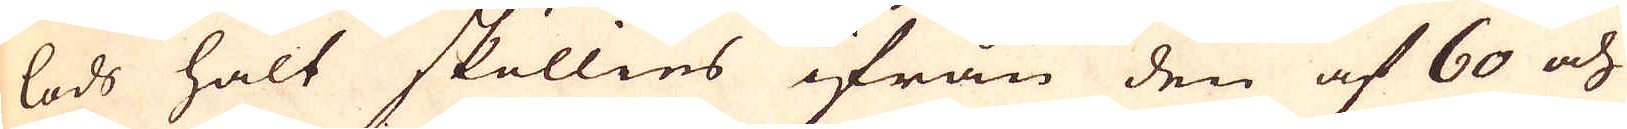lods halt sköllies ifrån den af 60 och
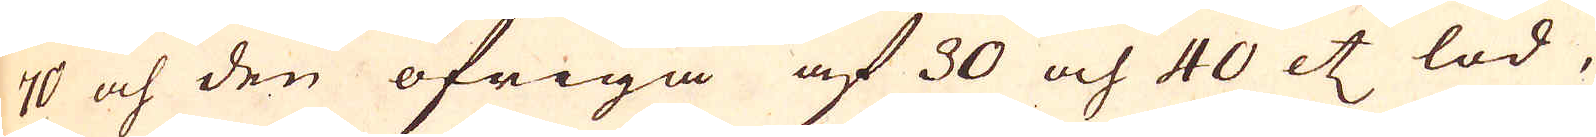70 och den öfriga af 30 och 40 etc lod,
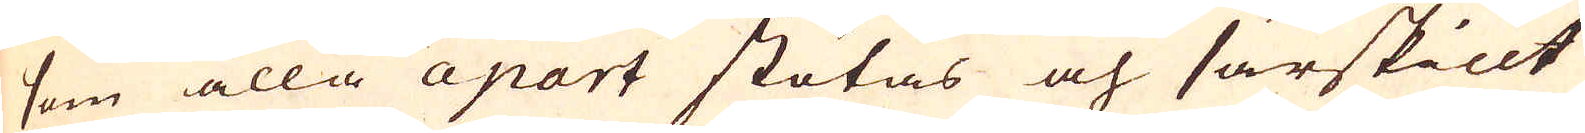som alla apart stötas och särskillt
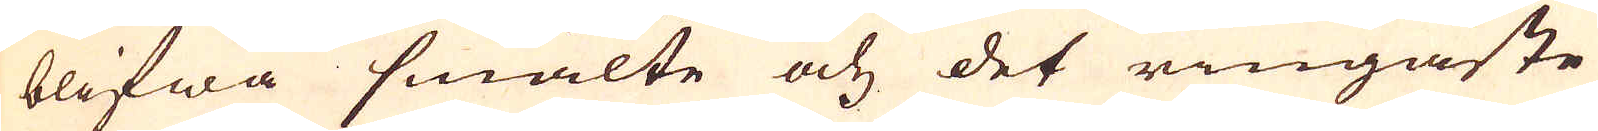blifwa smälte och det ringaste
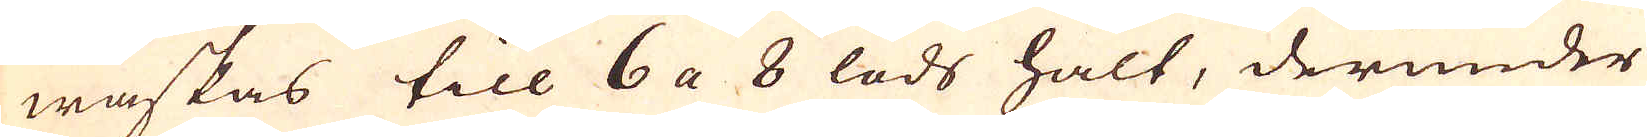waskas till 6 a 8 lods halt, därunder
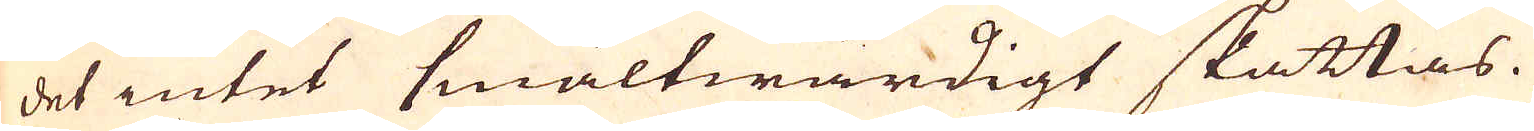det intet smältwärdigt skattas.
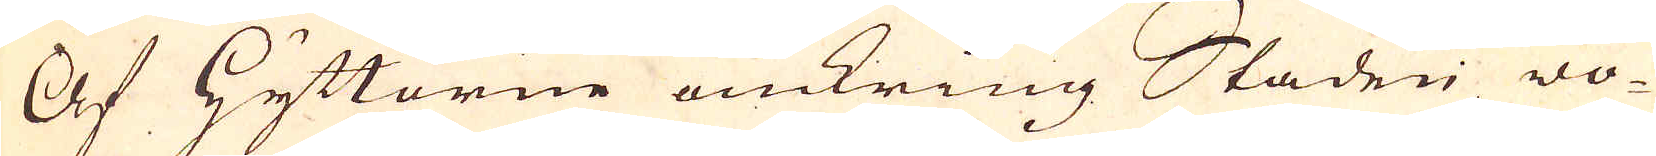Af Hyttorne omkring Staden wo-
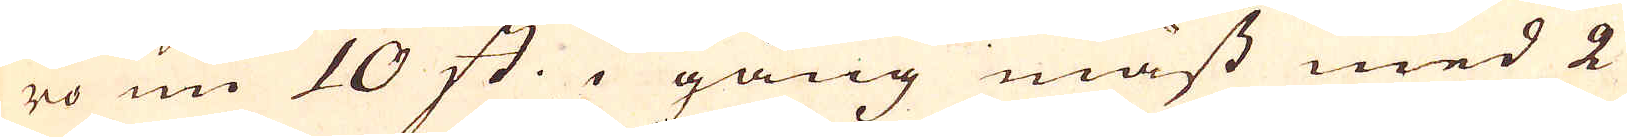ro nu 10 st: i gång mäst med 2
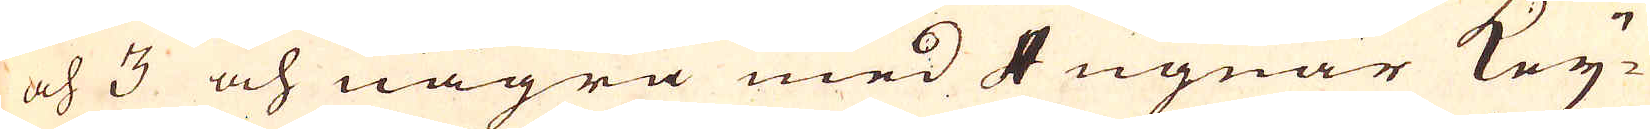och 3 och några med 4 ugnar key-
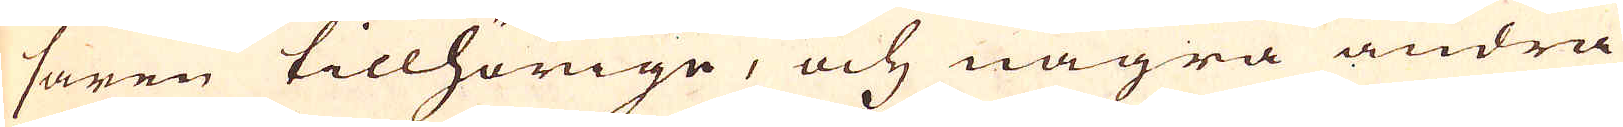saren tillhörige, och några andra
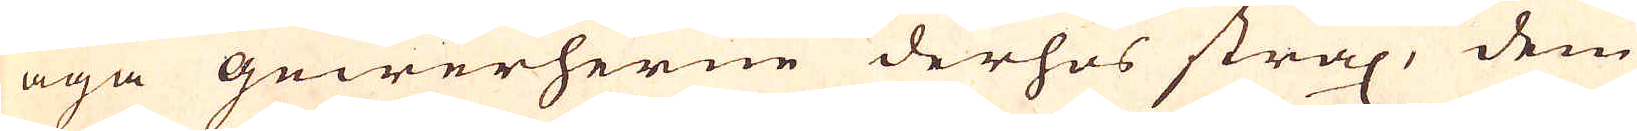äga gewerherne derhos strax, dem
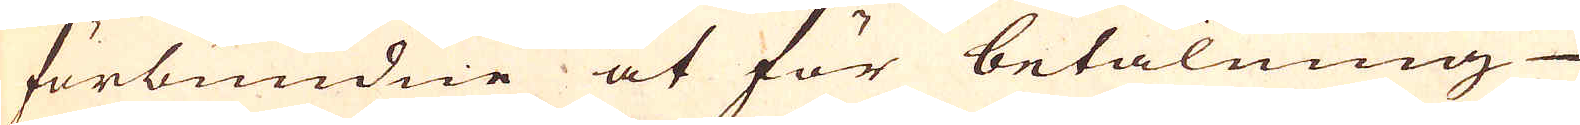förbundne at för betalning
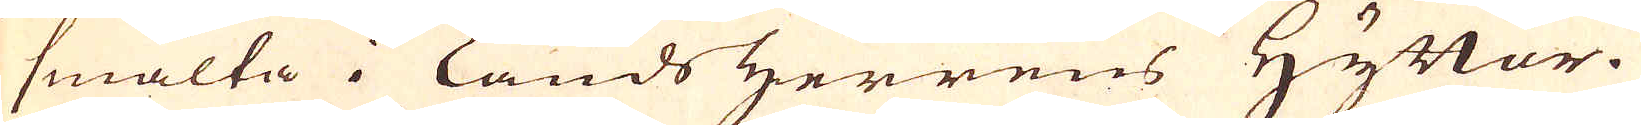smälta i lands Herrens Hyttor.
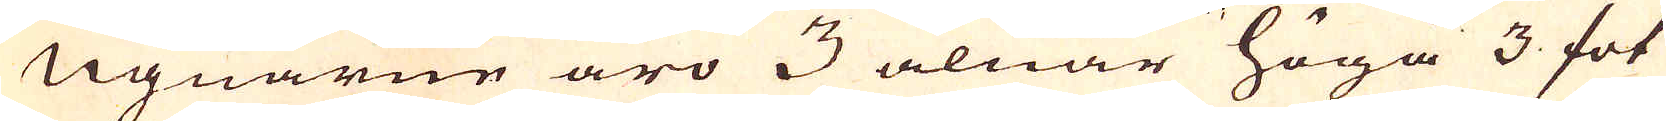Ugnarne äro 3 alnar höga 3 fot
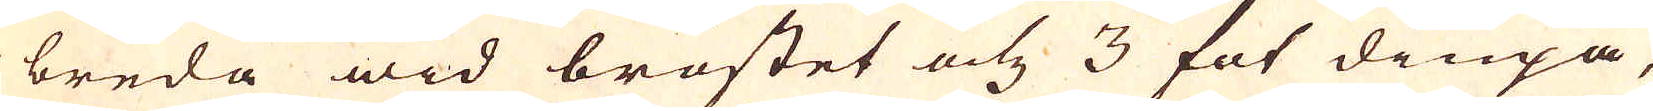breda wid bröstet och 3 fot diupa,
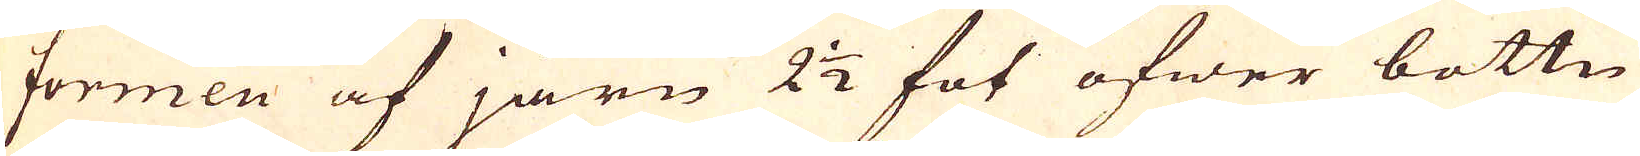formen af järn 2 1/2 fot öfwer bottn
